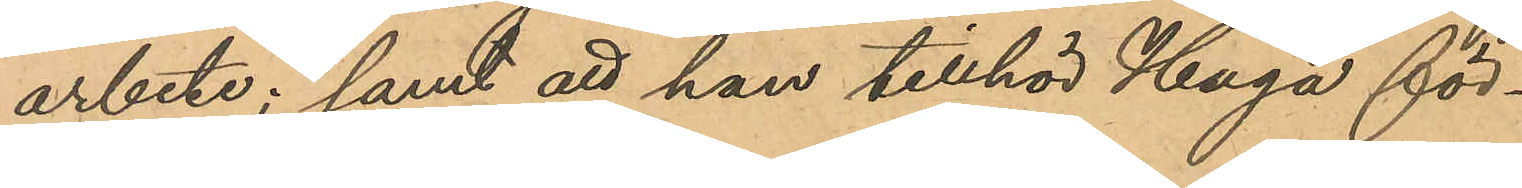arbete; samt att han tillhör Haga för¬
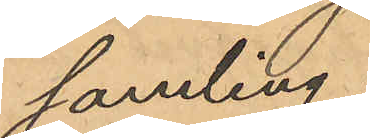samling;
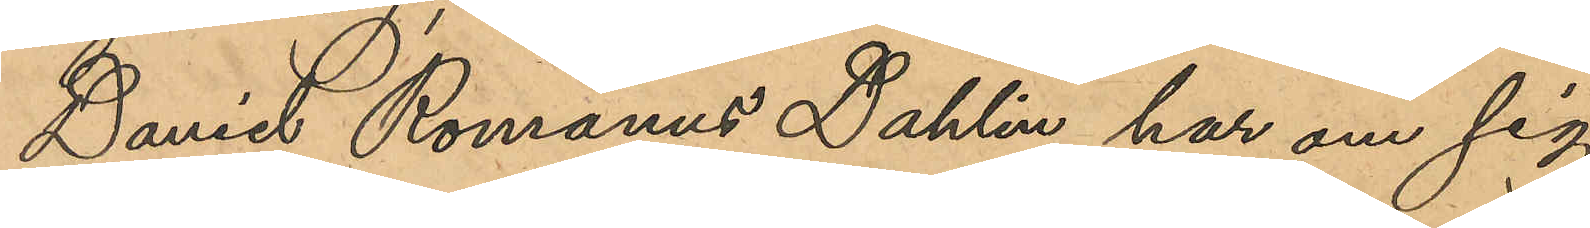Daniel Romanus Dahlin har om sig
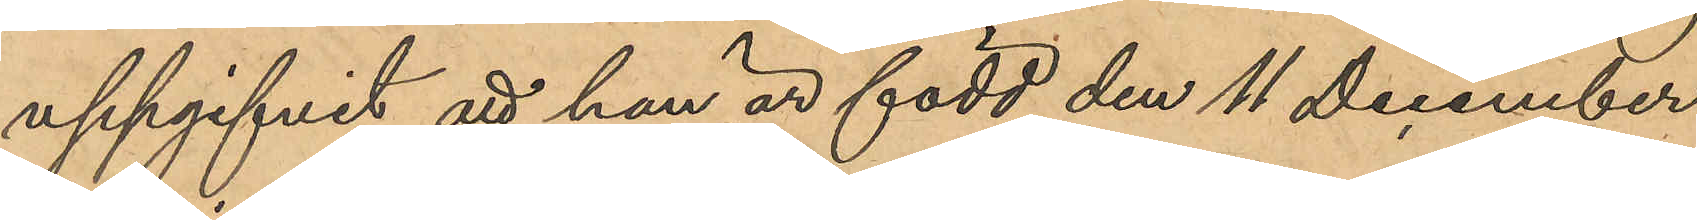uppgifvit att han är född den 11 December
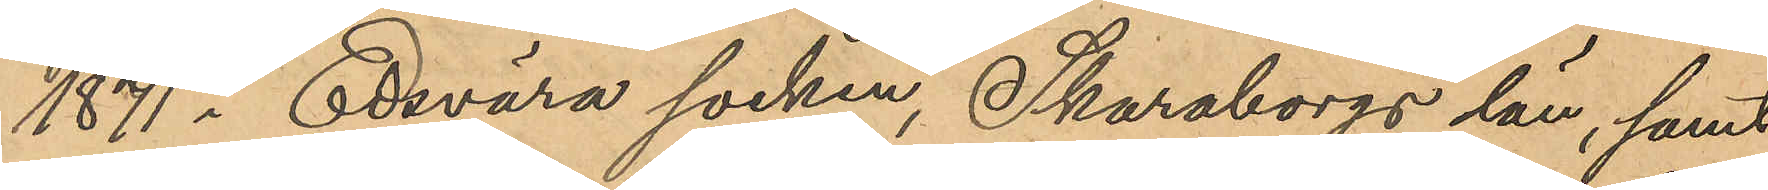1871 i Edsvära socken, Skaraborgs län, samt
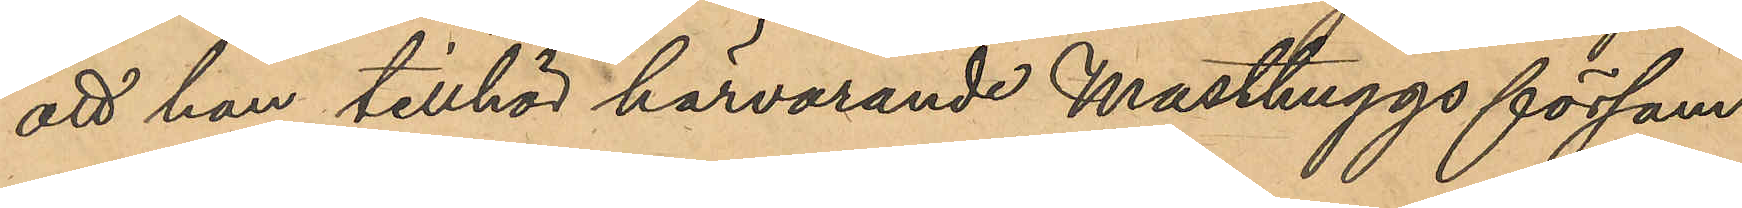att han tillhör härvarande Masthuggs försam¬
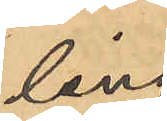ling.
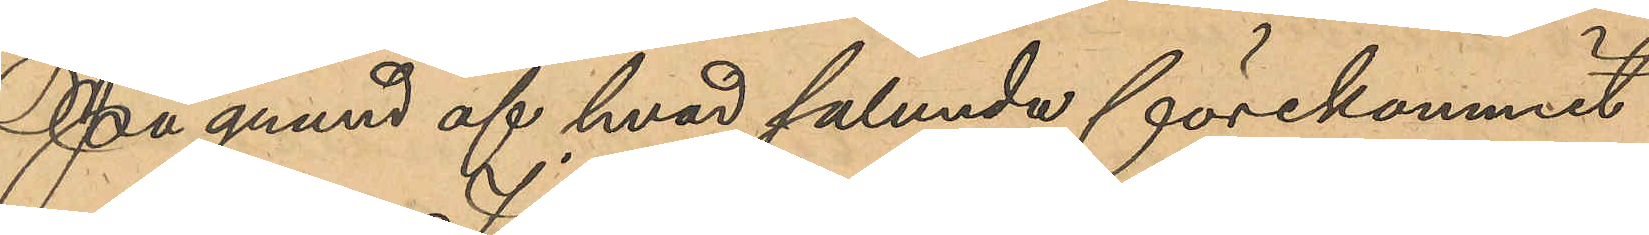På grund af hvad sålunda förekommit
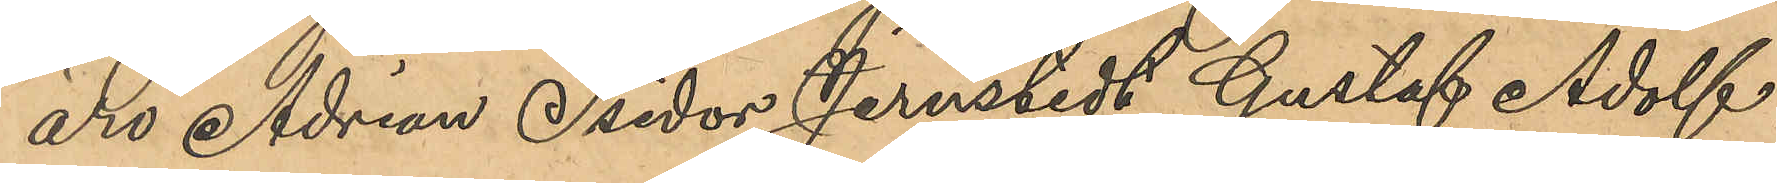äro Adrian Isidor Jernstedt, Gustaf Adolf
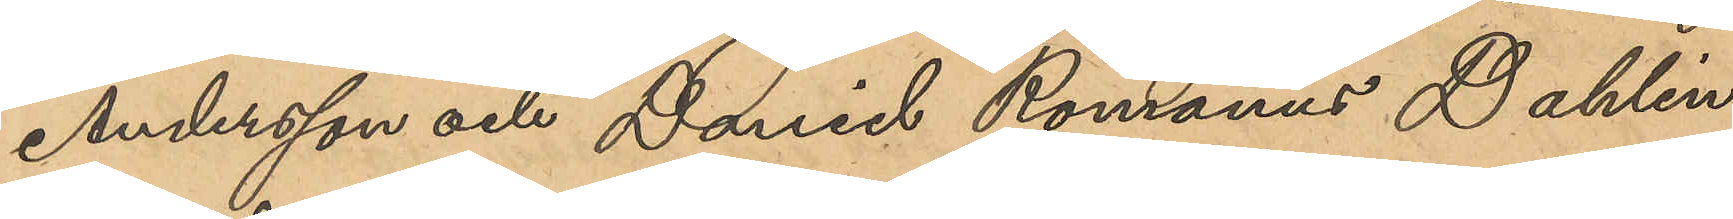Andersson och Daniel Romanus Dahlin
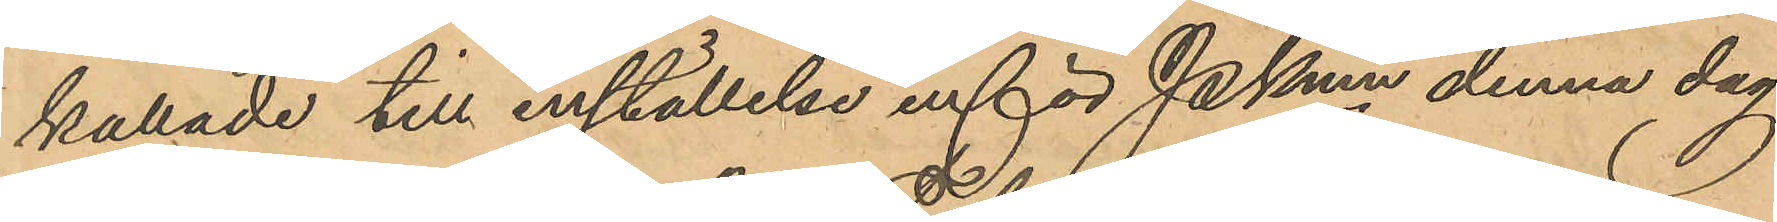kallade till inställelse inför Pkmn denna dag
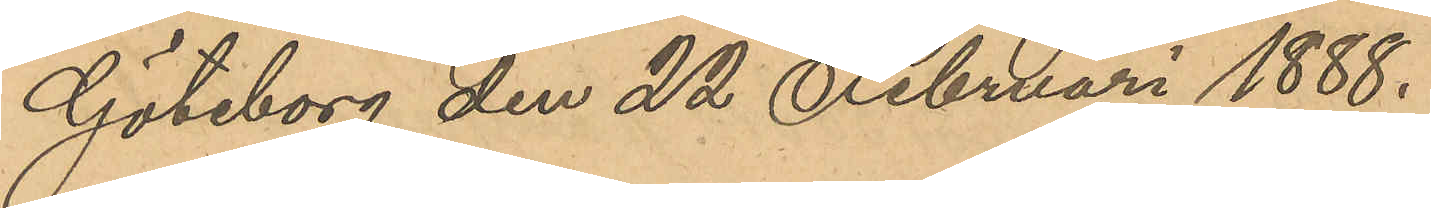Göteborg den 22 Februari 1888.
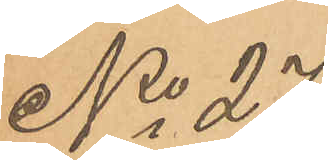No 27.
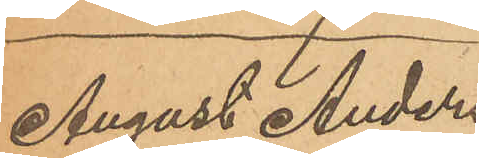August Anders¬
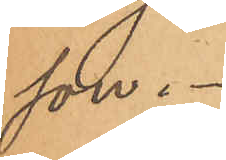son.
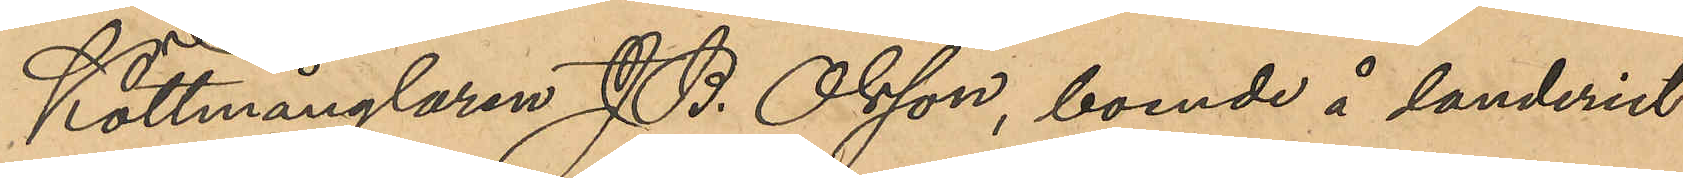Köttmånglaren J. B. Olsson, boende å landeriet
